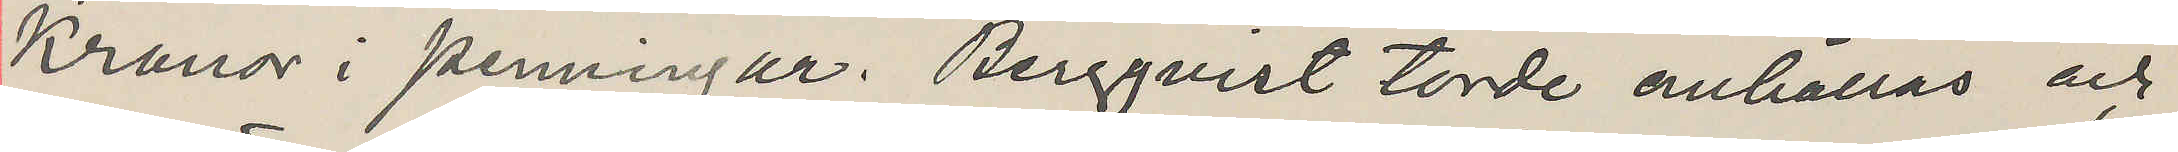Kronor i penningar. Bergqvist torde anhållas och
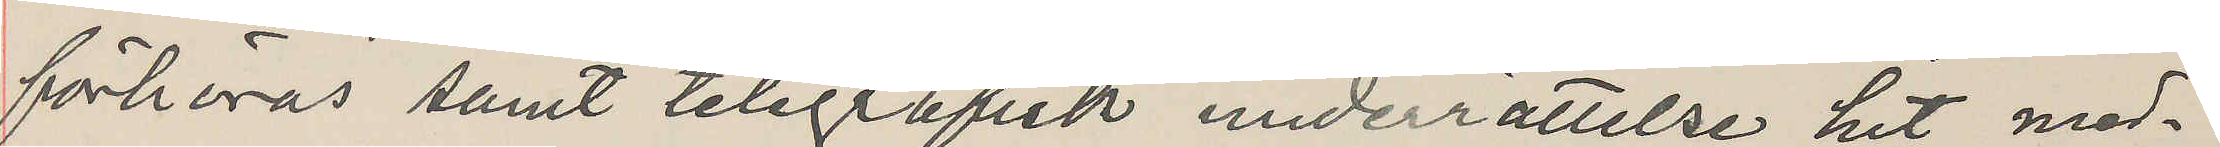förhöras samt telegrafisk underrättelse hit med¬
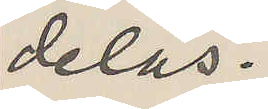delas.
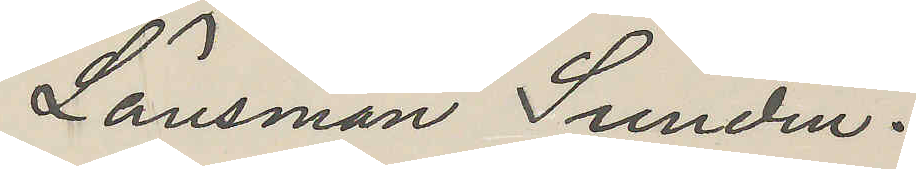Länsman Sundin.
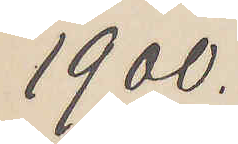1900.
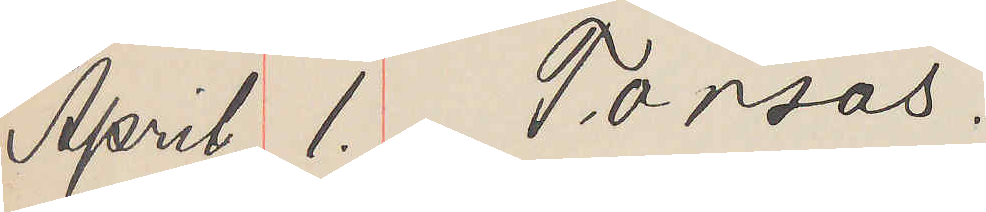April 1. Torsås.
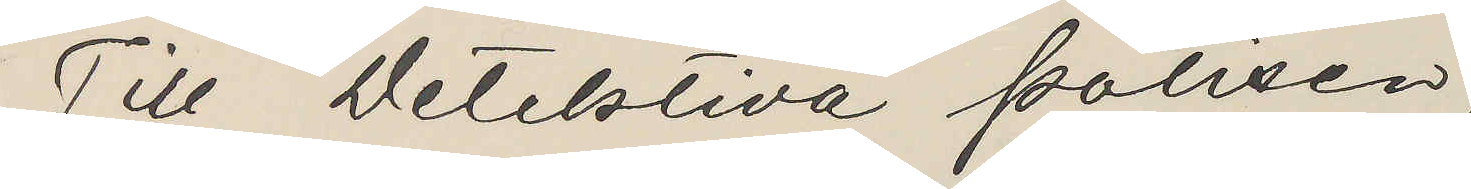Till Detektiva polisen,
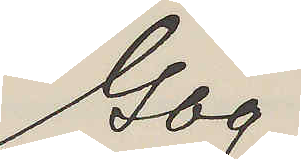Gbg.
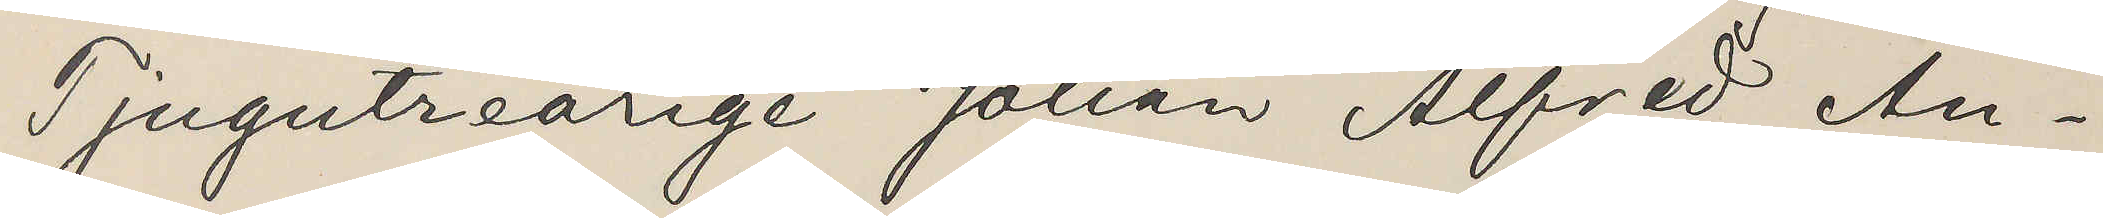Tjugutreårige Johan Alfred An¬
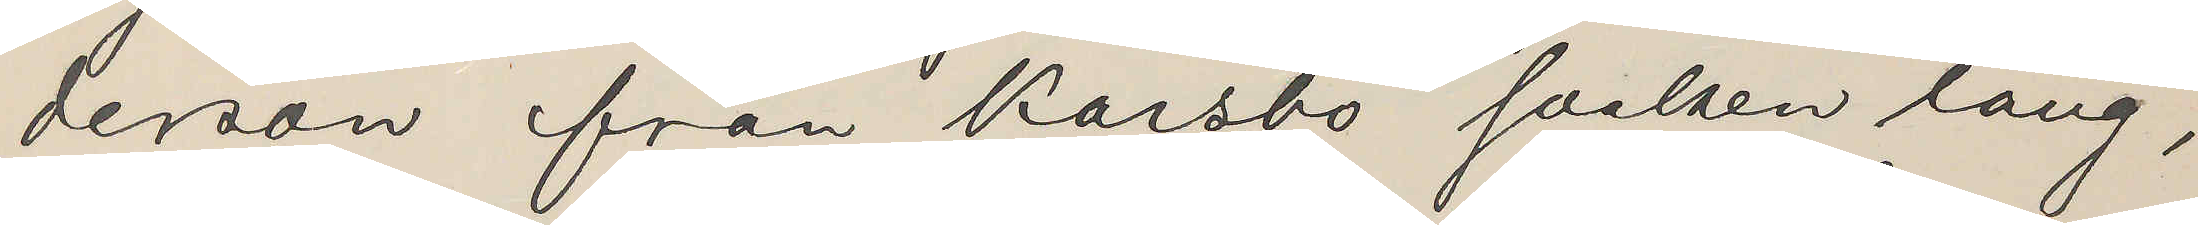derson från Karsbo socken lång,
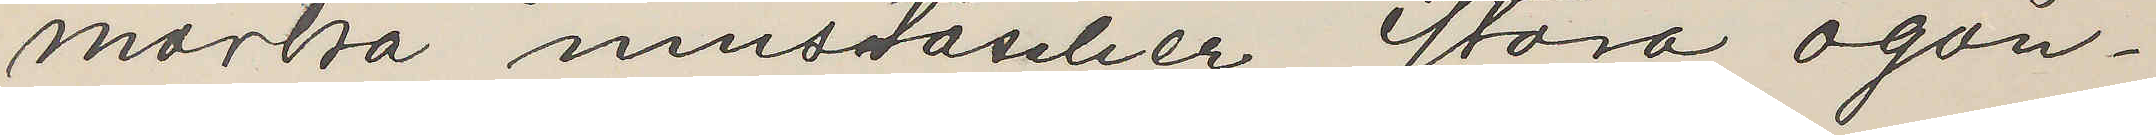mörka mustascher, stora ögon¬
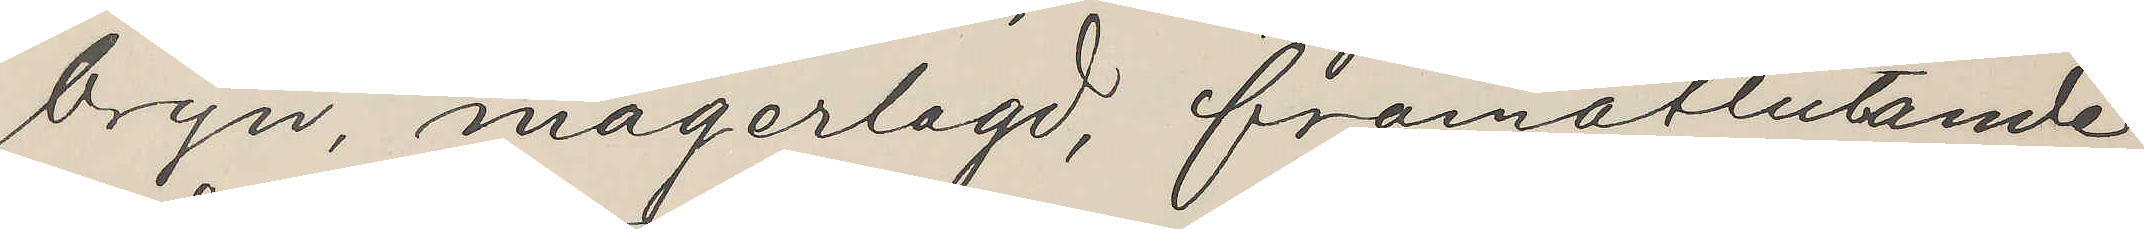bryn, magerlagd, framåtlutande
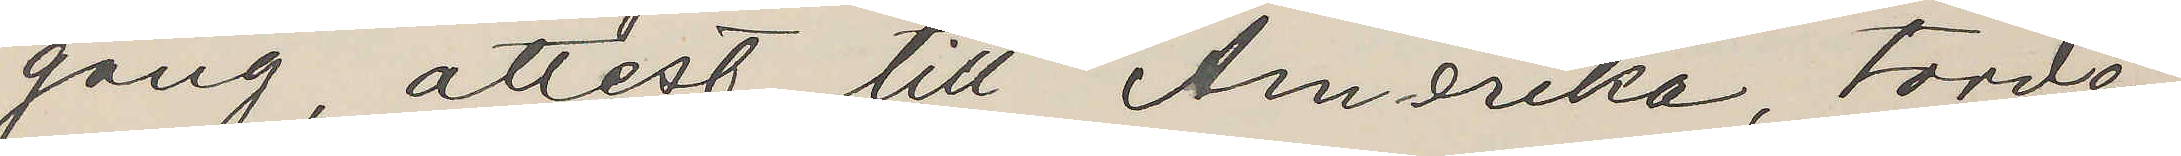gång, attest till Amerika, torde
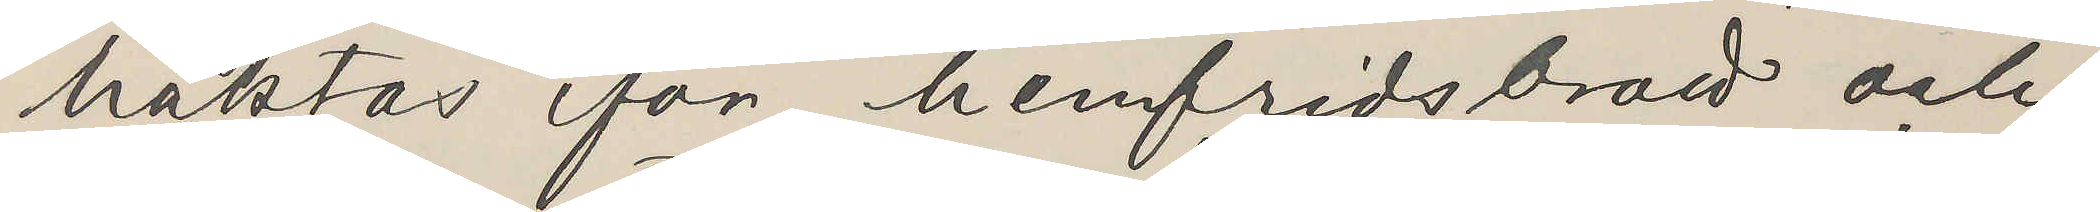häktas för hemfridsbrott och
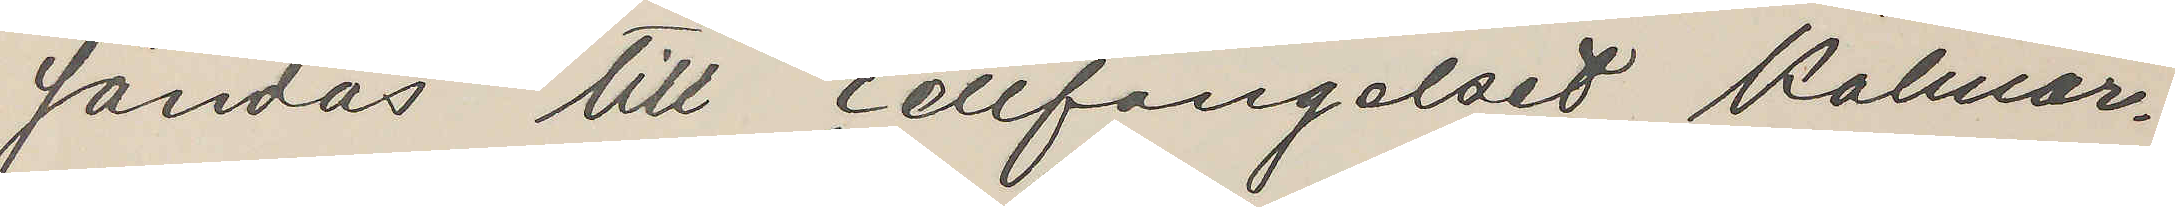sändas till cellfängelset Kalmar.
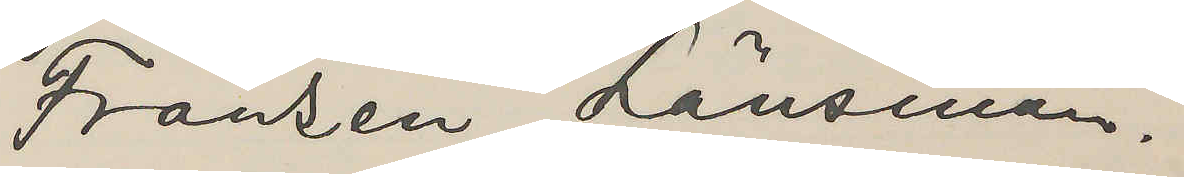Fransén, Länsman.
